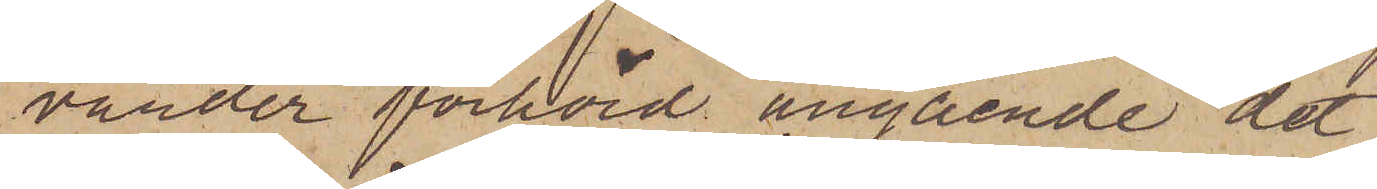varder förhörd angående det
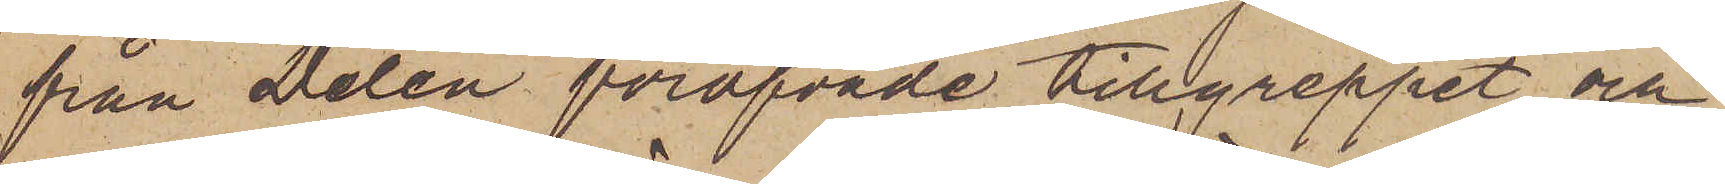från Delén föröfvade tillgreppet och
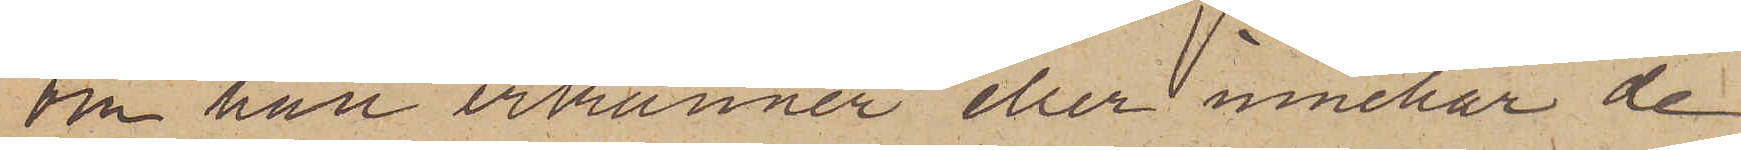om han erkänner eller innehar de
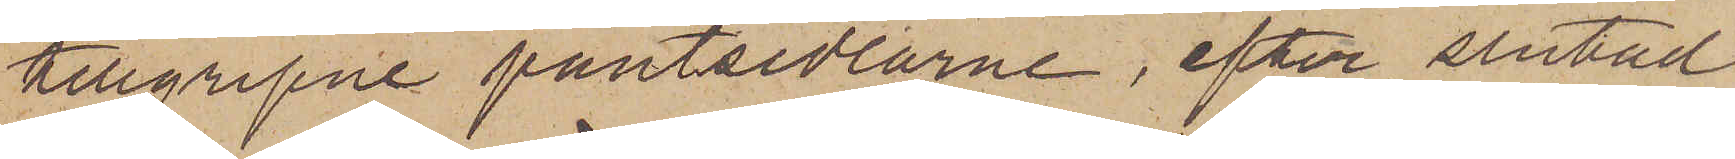tillgripne pantsedlarne, efter slutad
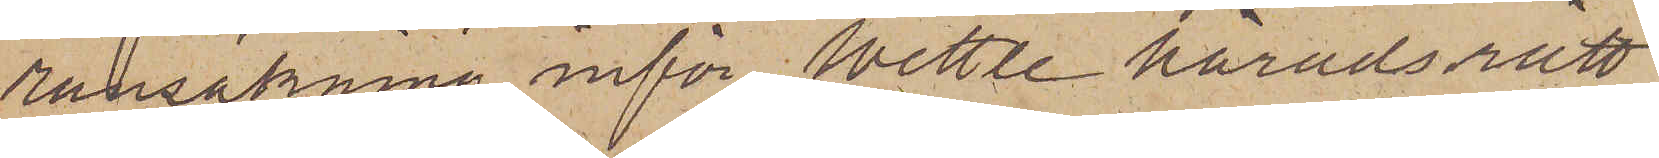ransakning inför Wettle häradsrätt
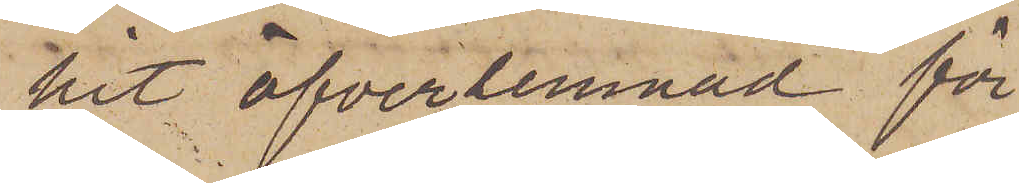hit öfverlemnad för
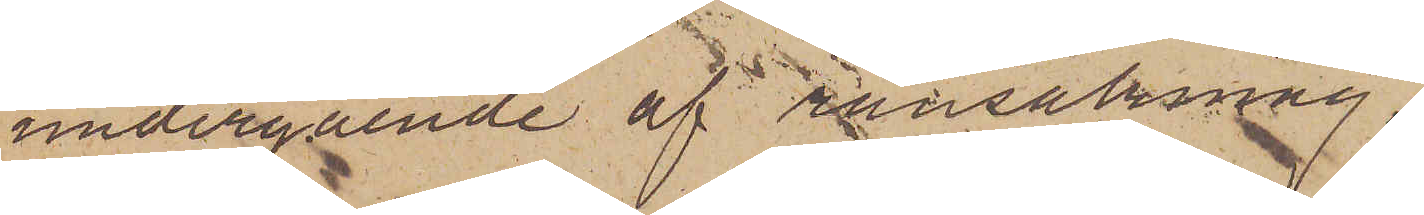undergående af ransakning.
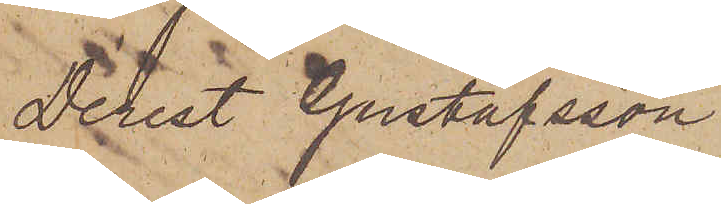Derest Gustafsson
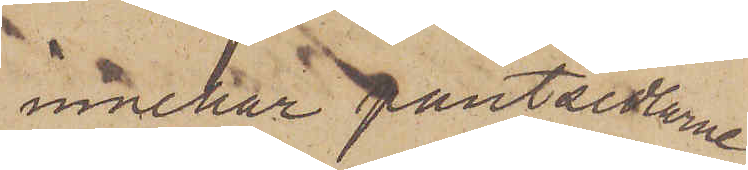innehar pantsedlarne
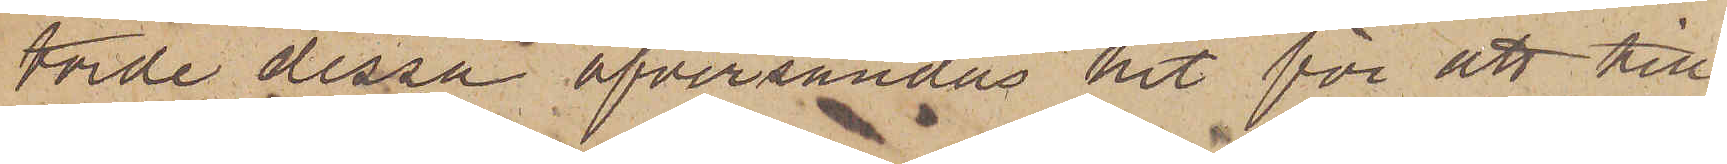torde dessa öfversändas hit för att till¬
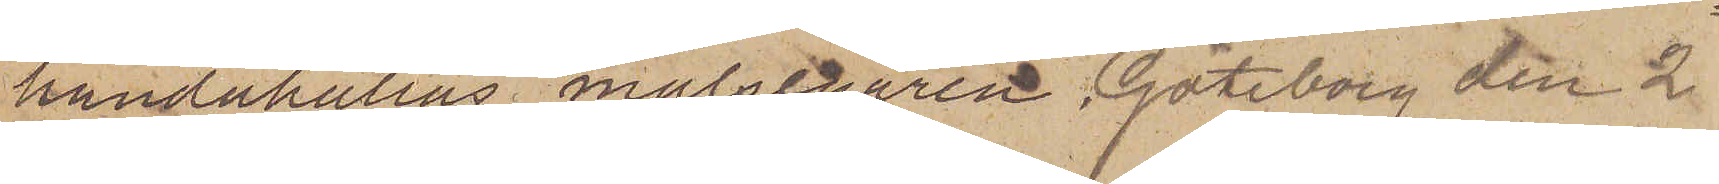handahållas målsegaren. Göteborg den 2
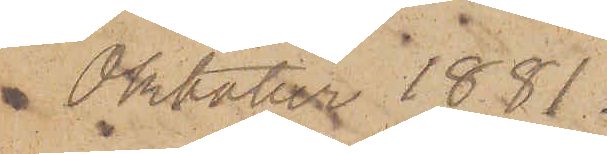 Oktober 1881.
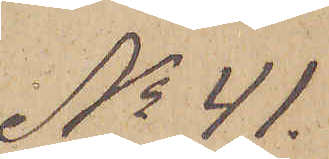No 41.
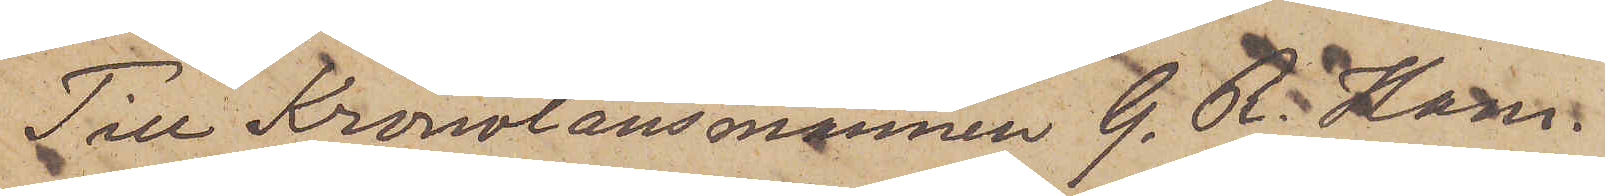Till Kronolänsmannen G. R. Ham¬
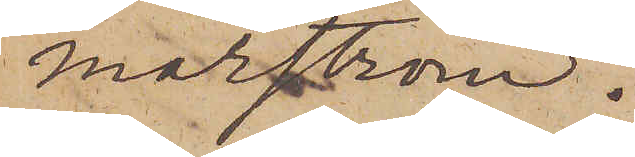marström.
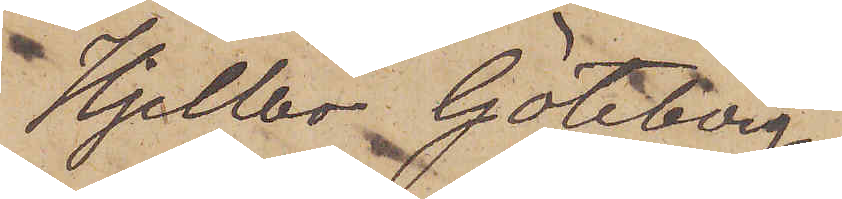Hjellbo Göteborg
